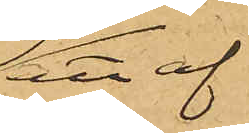att af
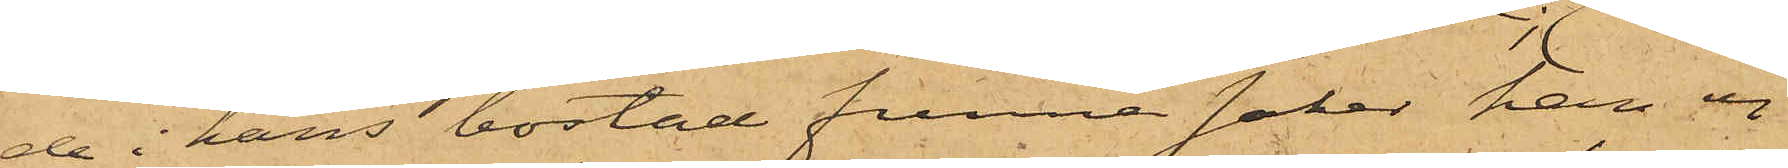de i hans bostad funna saker han ej
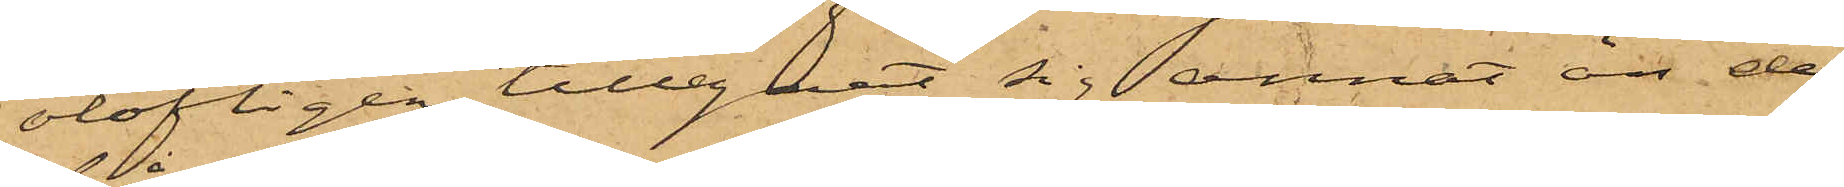olofligen tillegnat sig annat att de
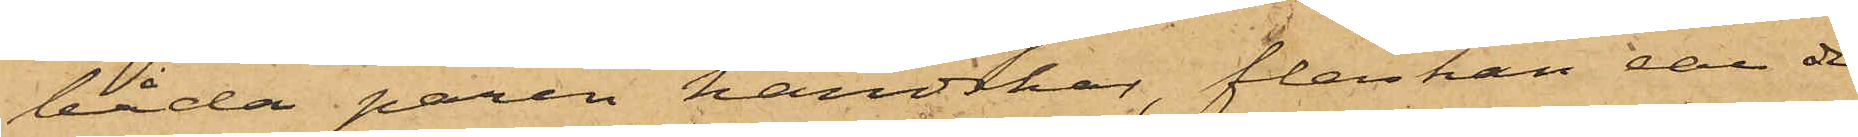båda paren handskar, flaskan eau de
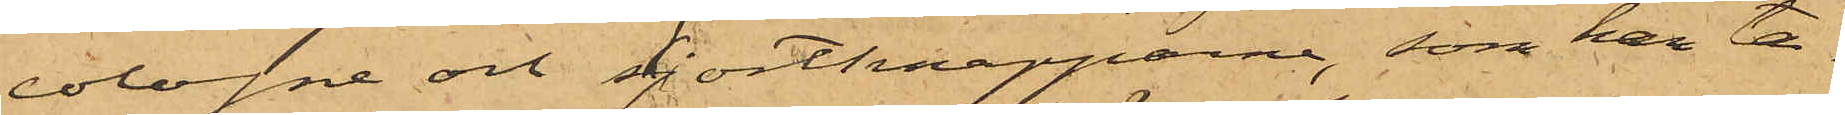cologne och skjortknapparne, som han ta¬
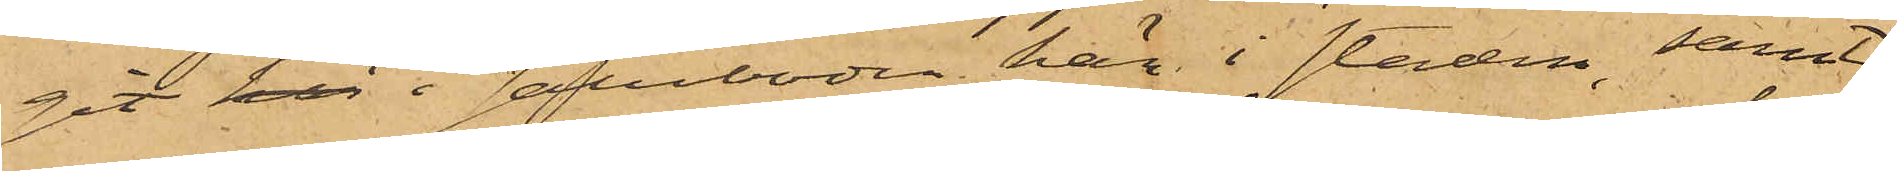git här i saluboden här i staden, samt
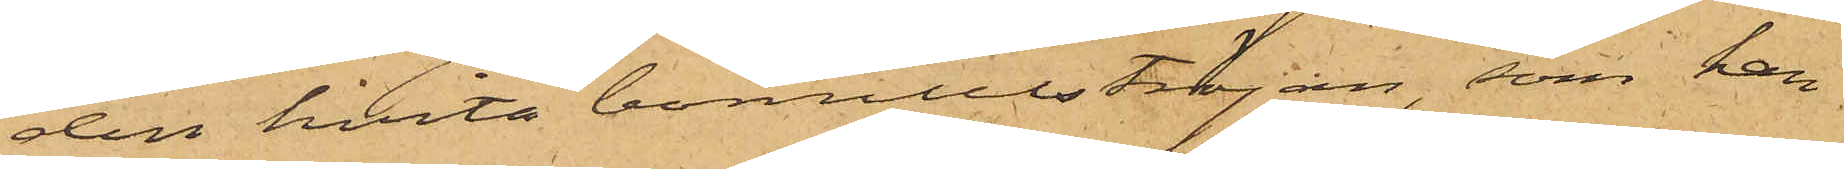den hvita bomullströjan, som han
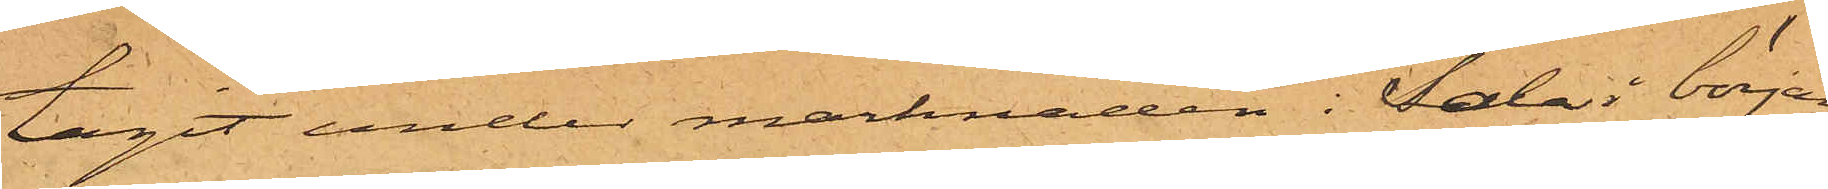tagit under marknaden i Sala i början
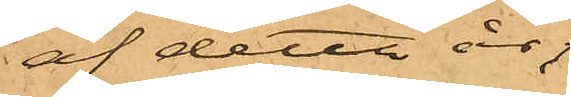af detta år;
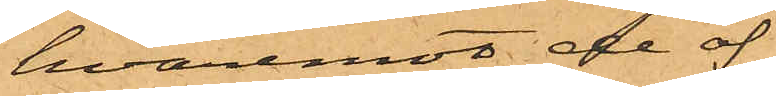hvaremot de öf¬
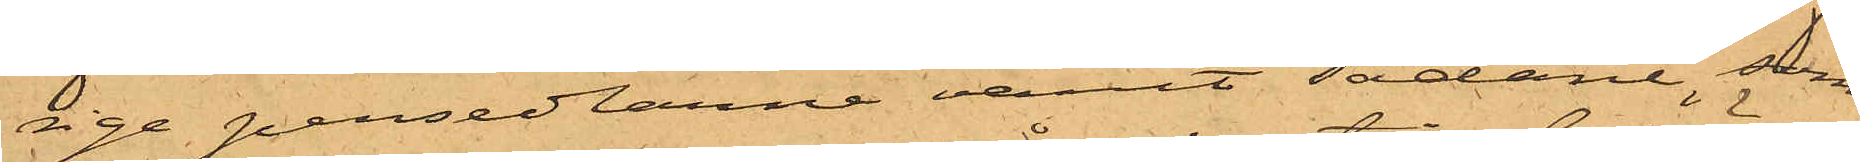rige persedlarne varit sådane, som
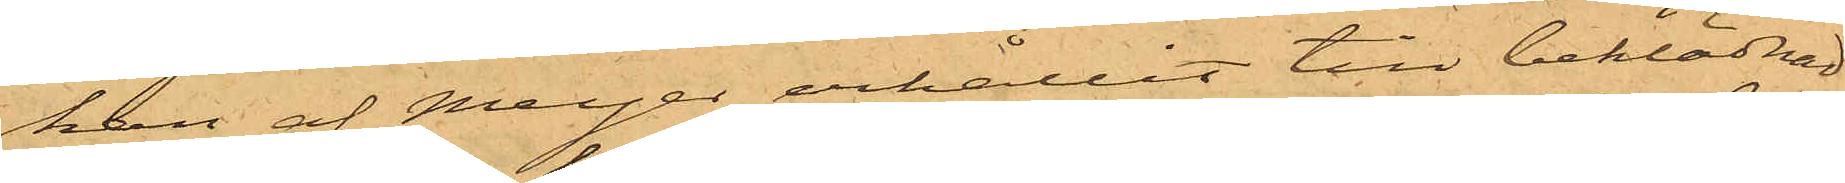han af Meyer erhållit till beklädnad,
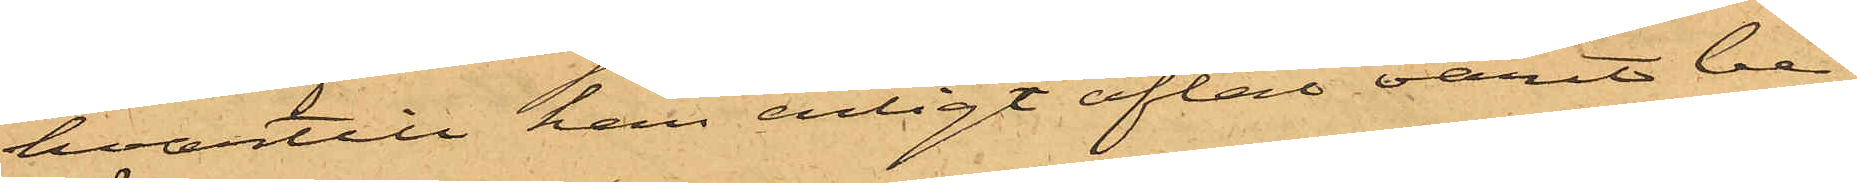hvartill han enligt aftal varit be¬
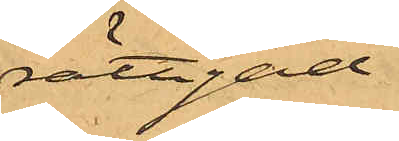rättigad.
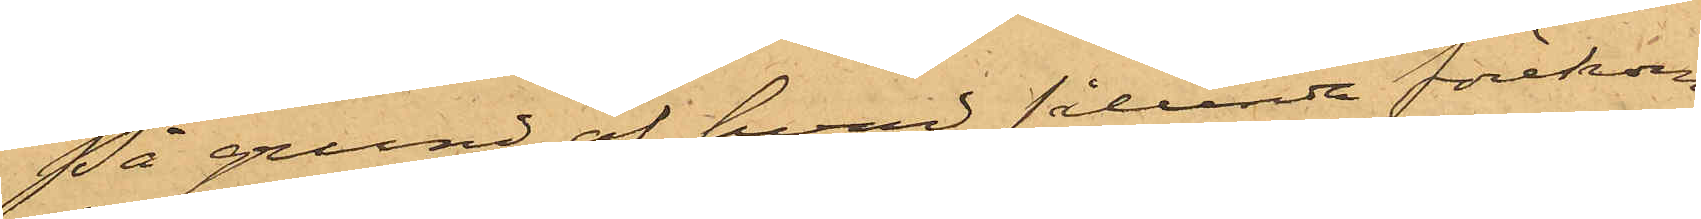På grund af hvad sålunda förekom¬
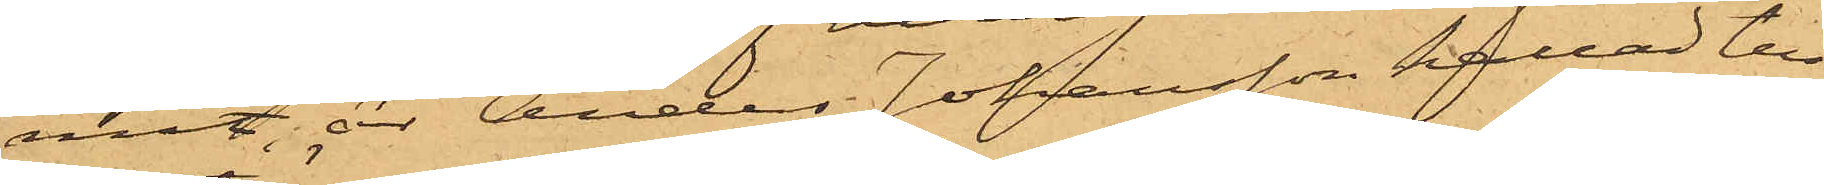mit, är Anders Johansson kallad till
